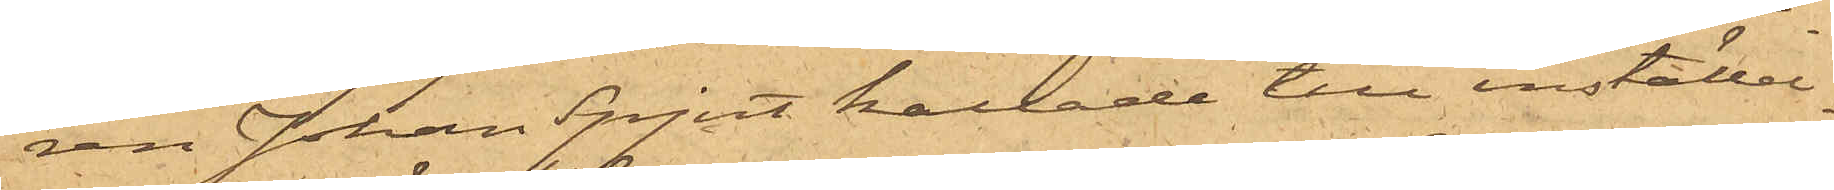ren Johan Spjut kallade till inställel¬
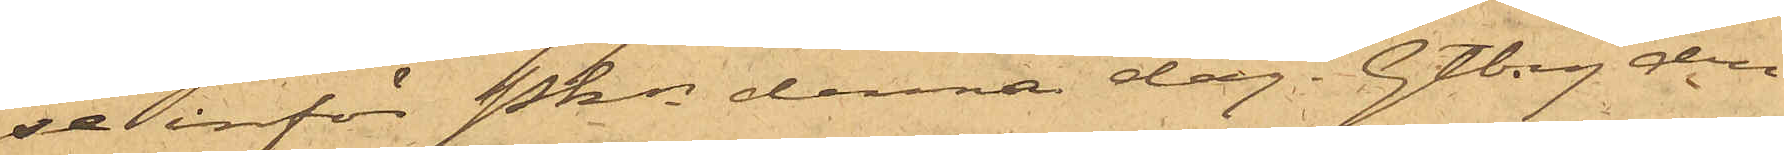se inför Pkn denna dag. Gtbg den
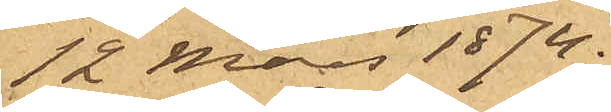12 Mars 1874.
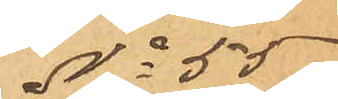No 55
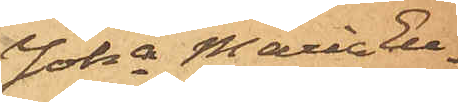Joha Maria Eu¬
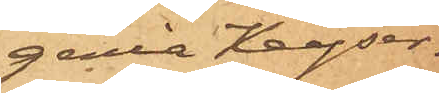genia Keyser.
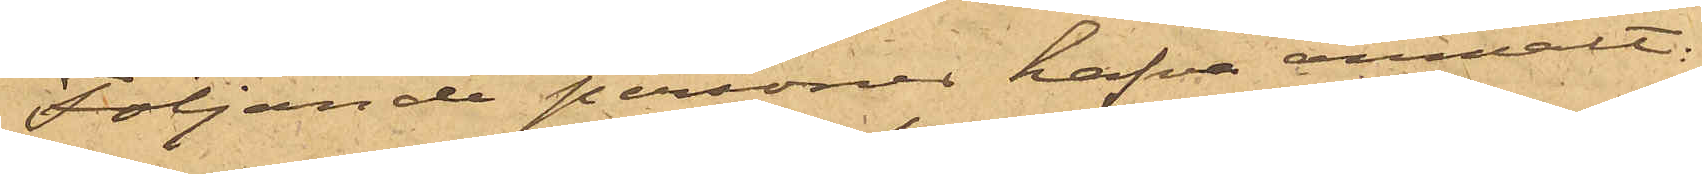Följande personer hafva anmält:
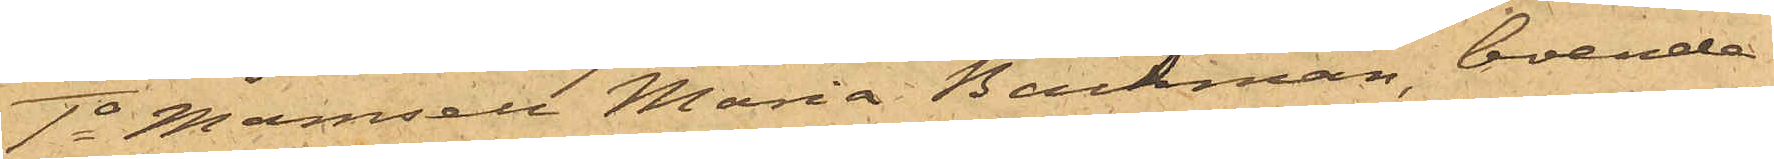1o Mamsell Maria Backman, boende
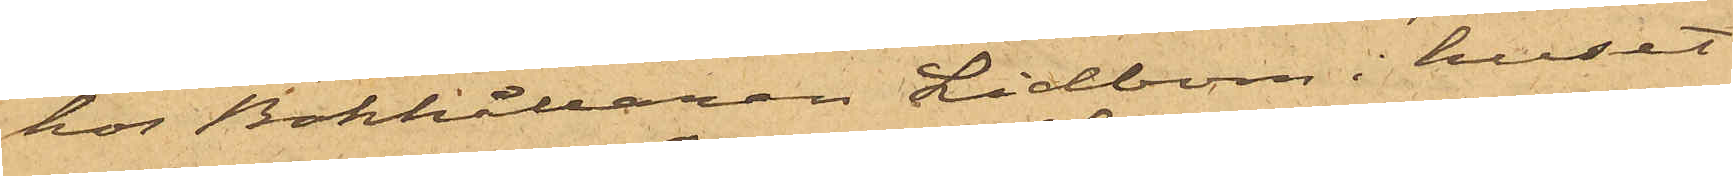hos Bokhållaren Lidbom i huset
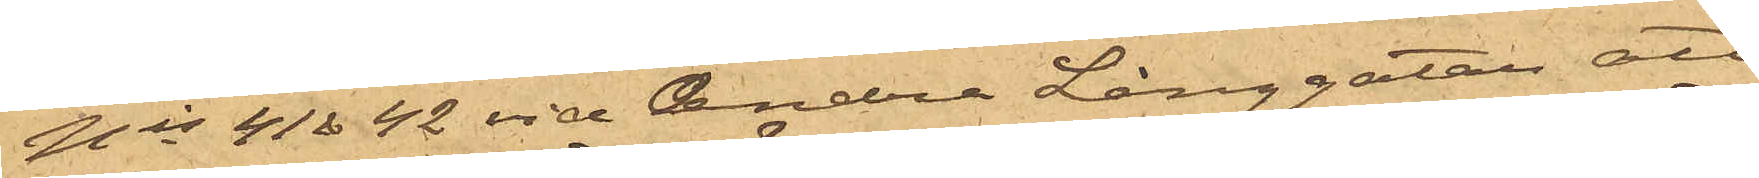Nis 41 & 42 vid Andra Långgatan att
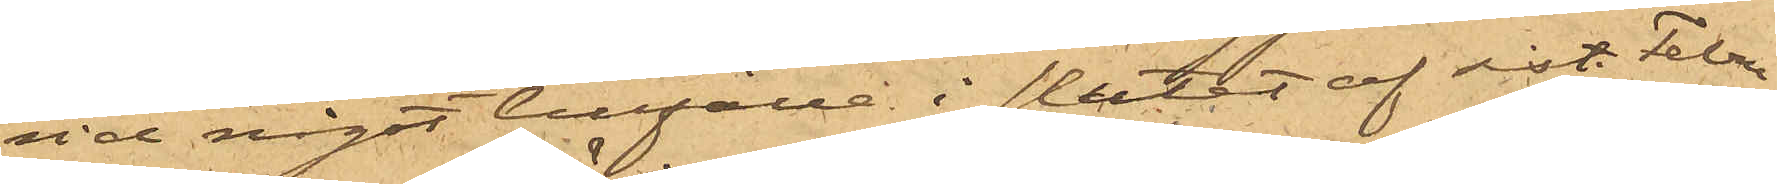vid något tillfälle i slutet af sist. Febru¬
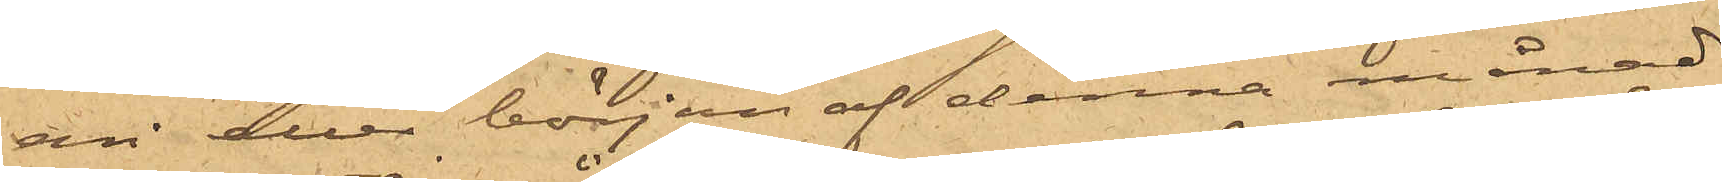ari eller början af denna månad
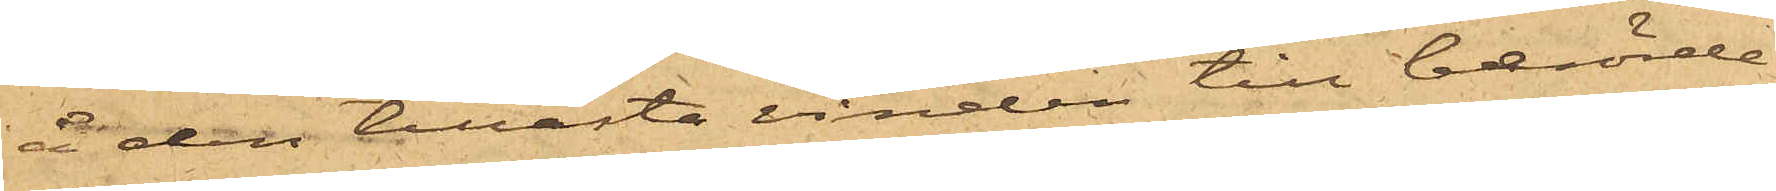å den tillåsta vinden till berörde
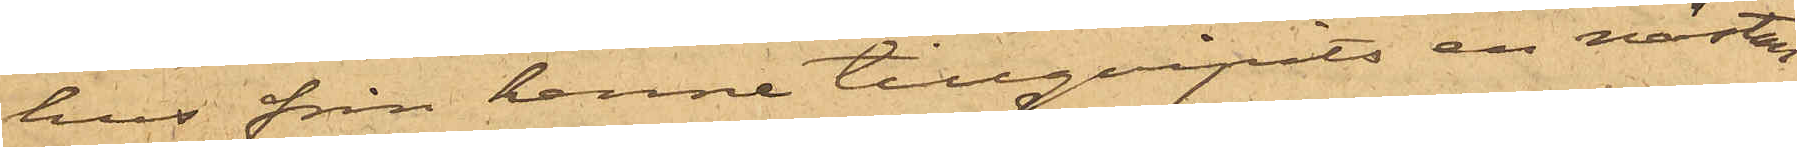hus från henne tillgripits en nästan
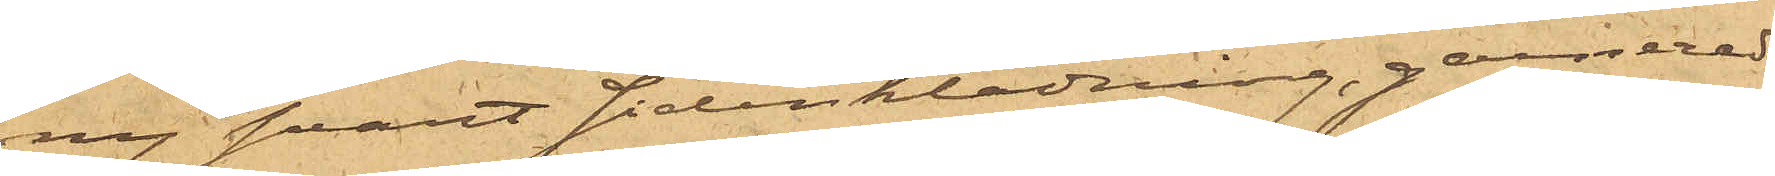ny svart Sidenklädning, garnerad
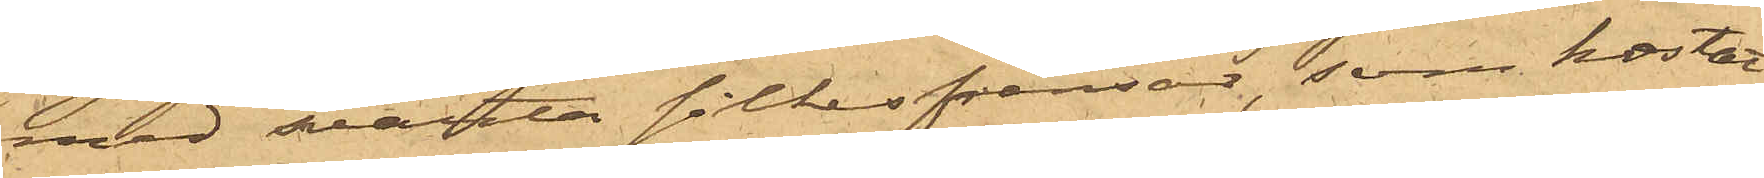med svarta silkesfransar, som kostat
